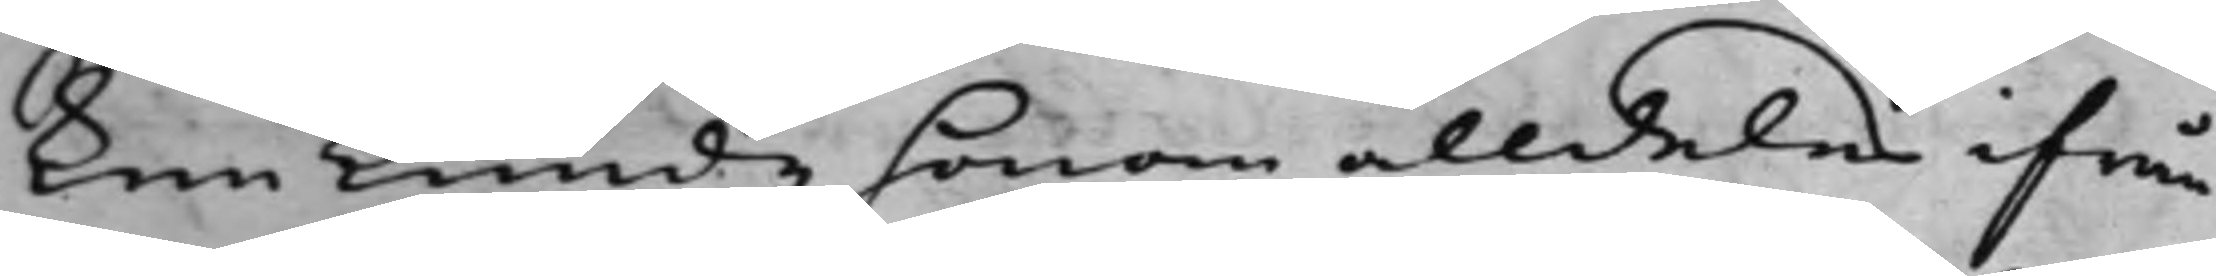ken kunde honom alldeles ifrån
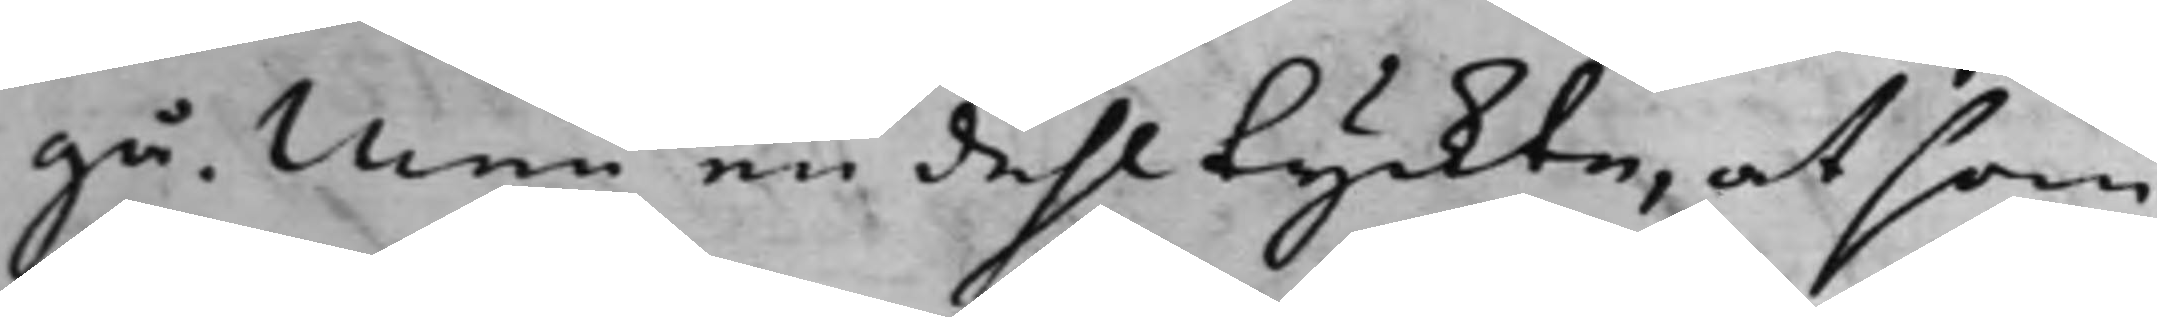gå, Men en dehl tyckte, at som
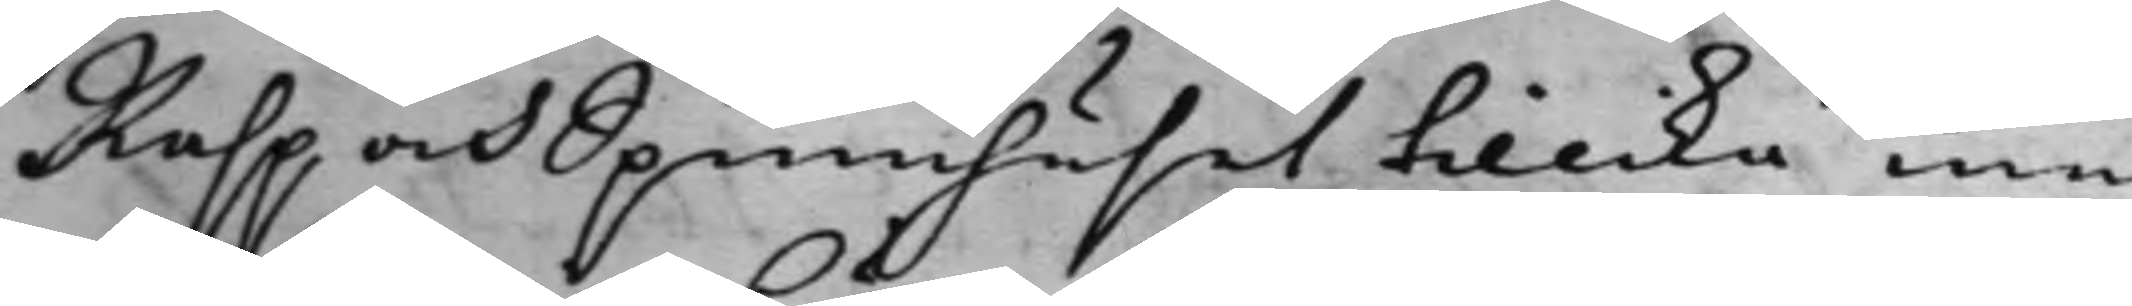Rasp och Spinnhuset tillika med
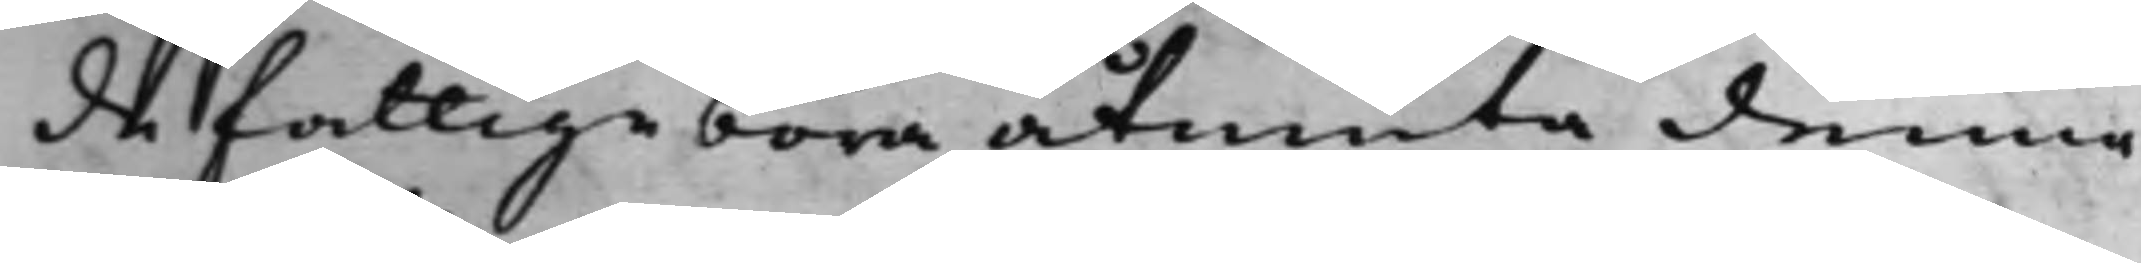de fattiga böra åtniuta denna
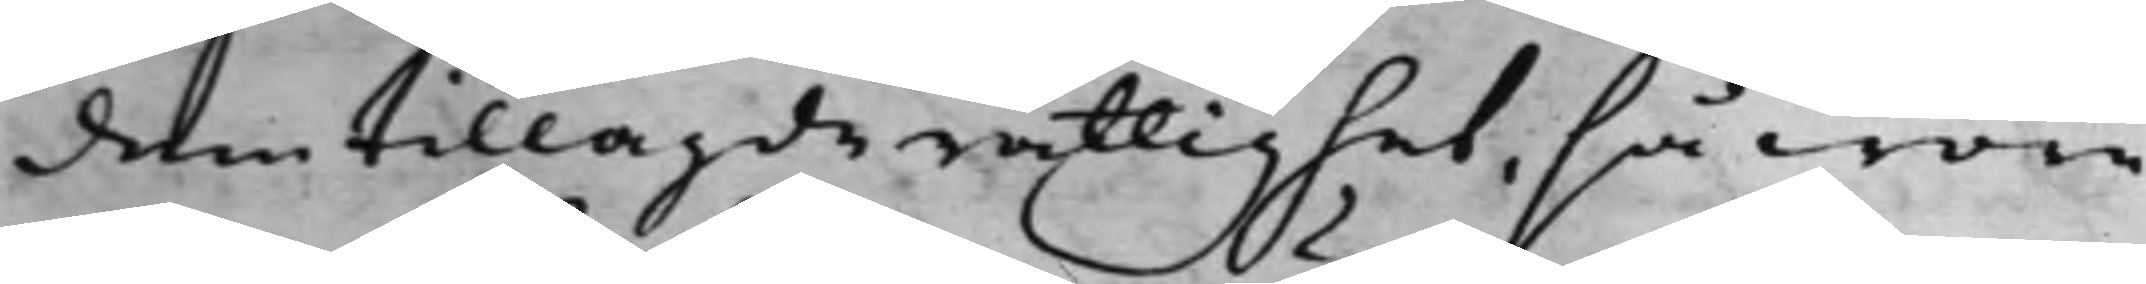dem tillagde rättighet, så wore
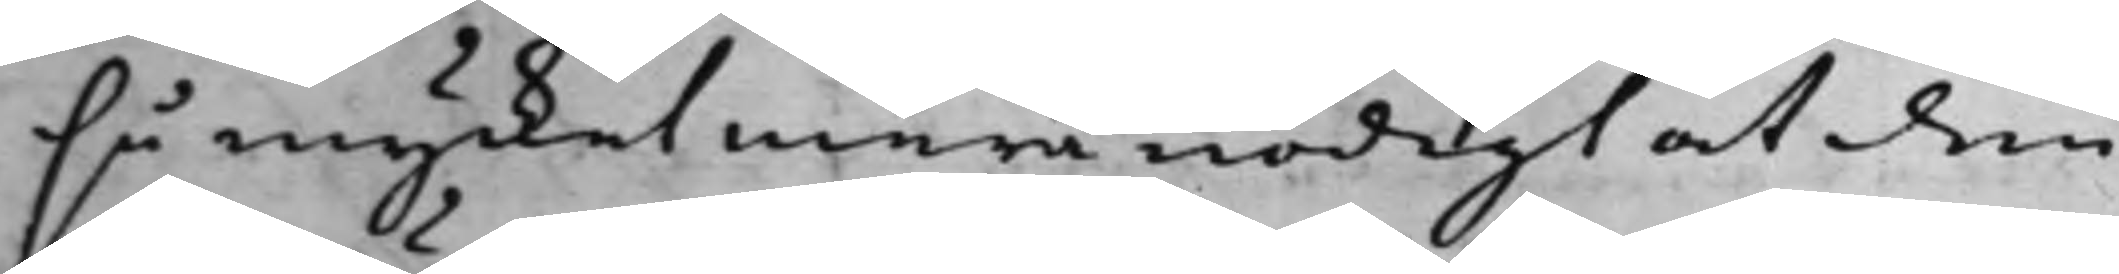så mycket mera nödigt at den
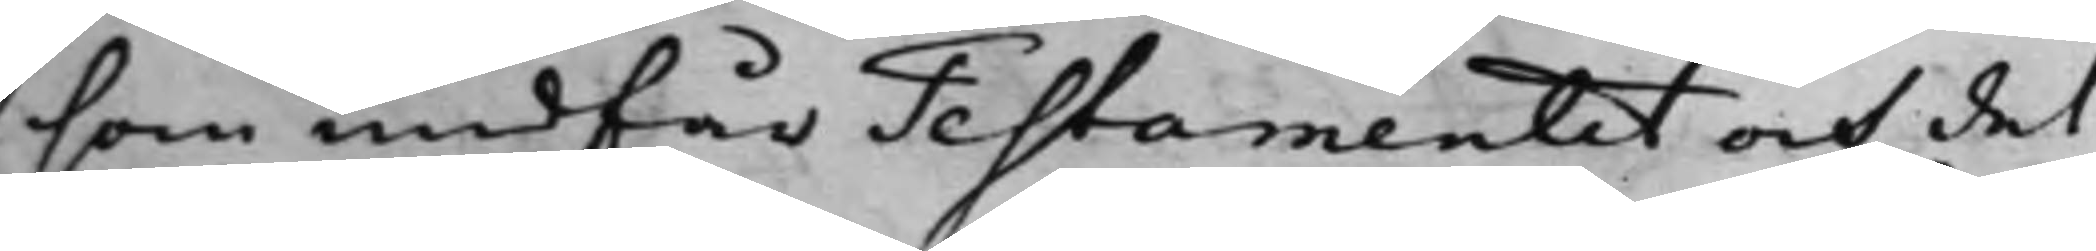som undfår Testamentet och det
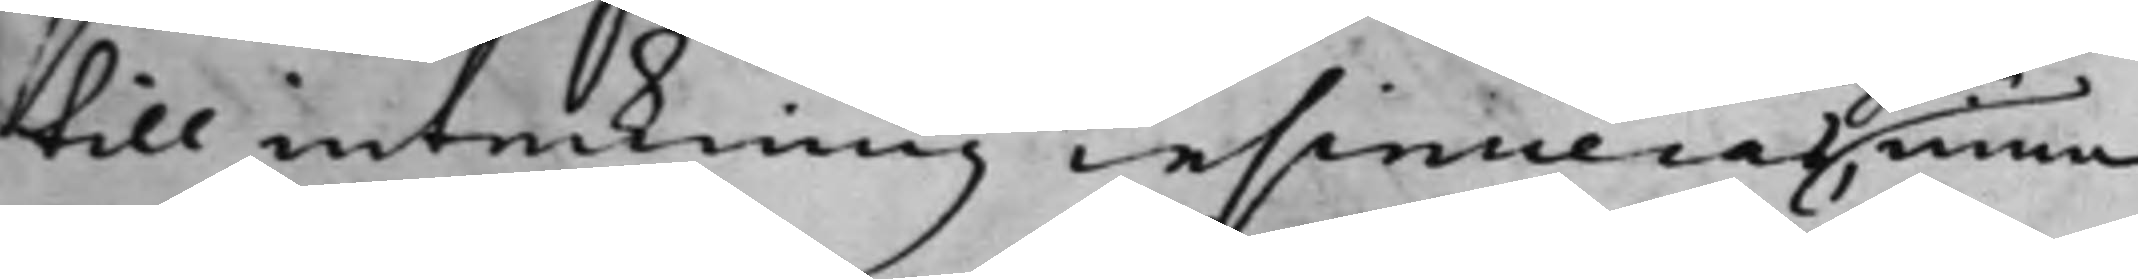till inteckning insinueras, inna
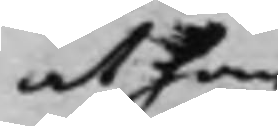at han
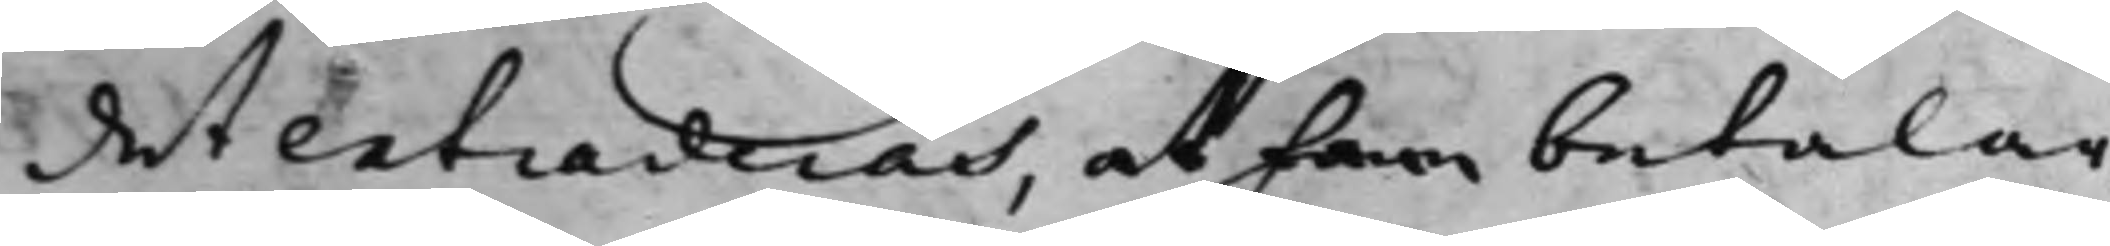det extraderas, at han betalar
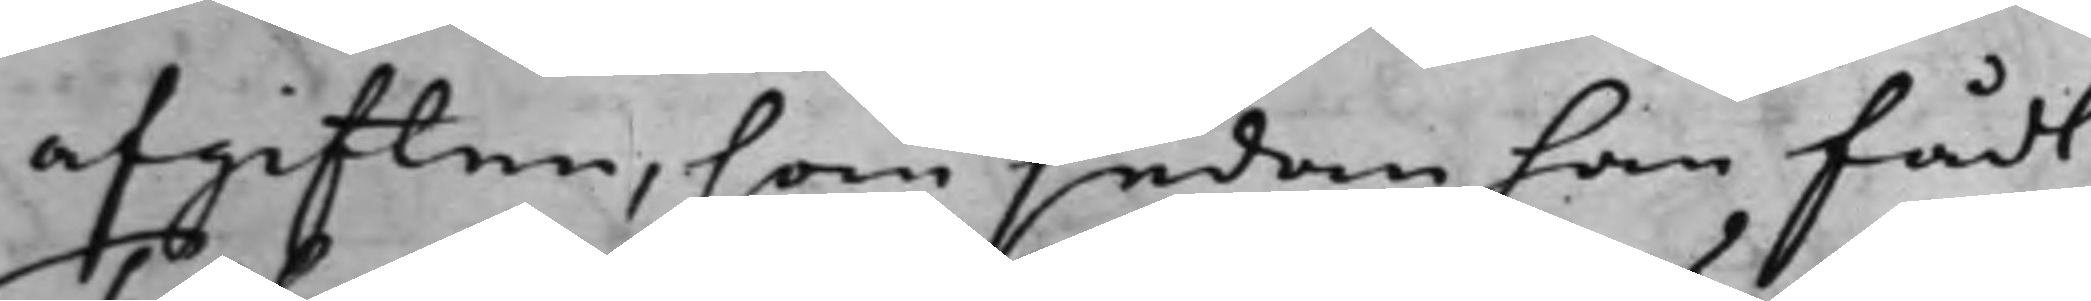afgiften, som sedan han fådt
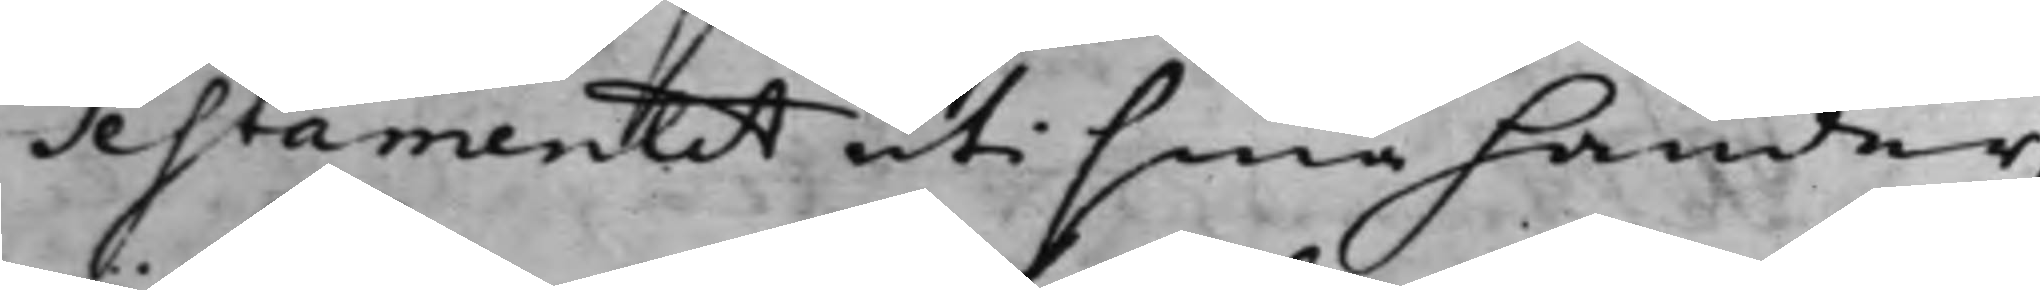Testamentet uti sina händer,
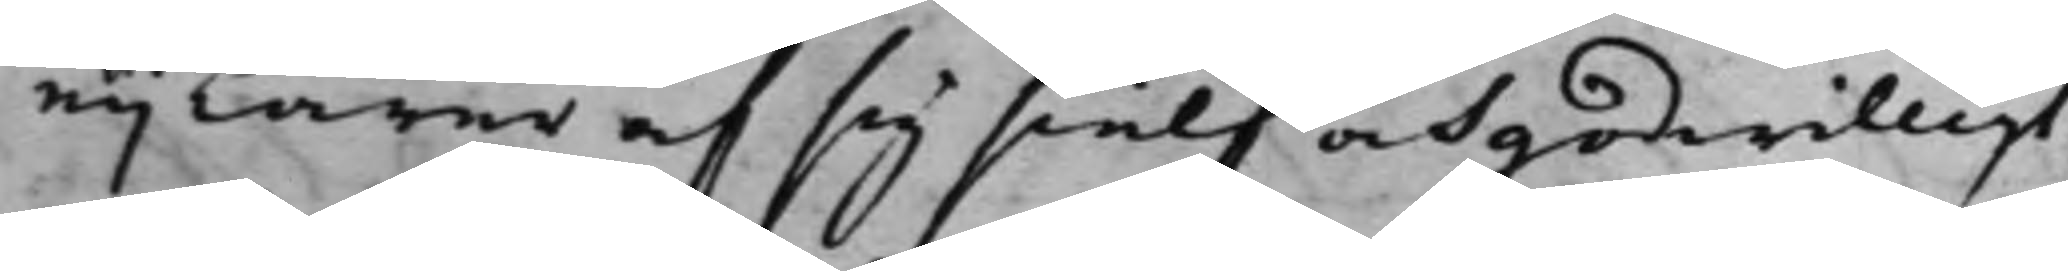eij lärer af sig sielf och godwilligt
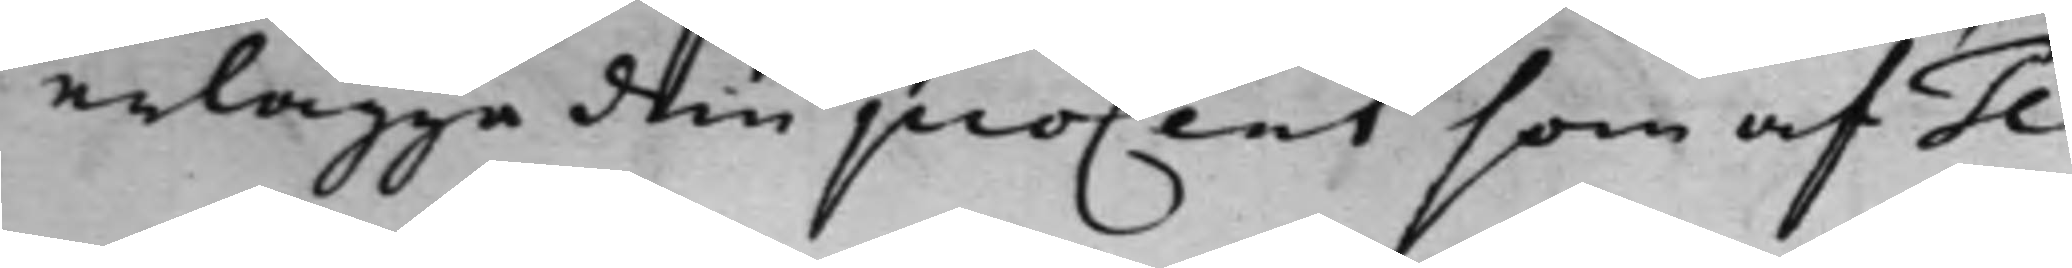erlägge den proCent som af Te¬
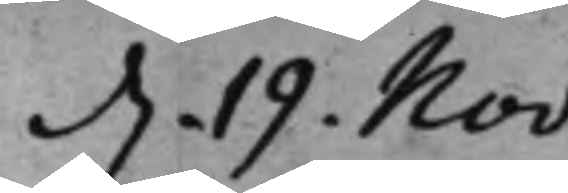d. 19 Nov:
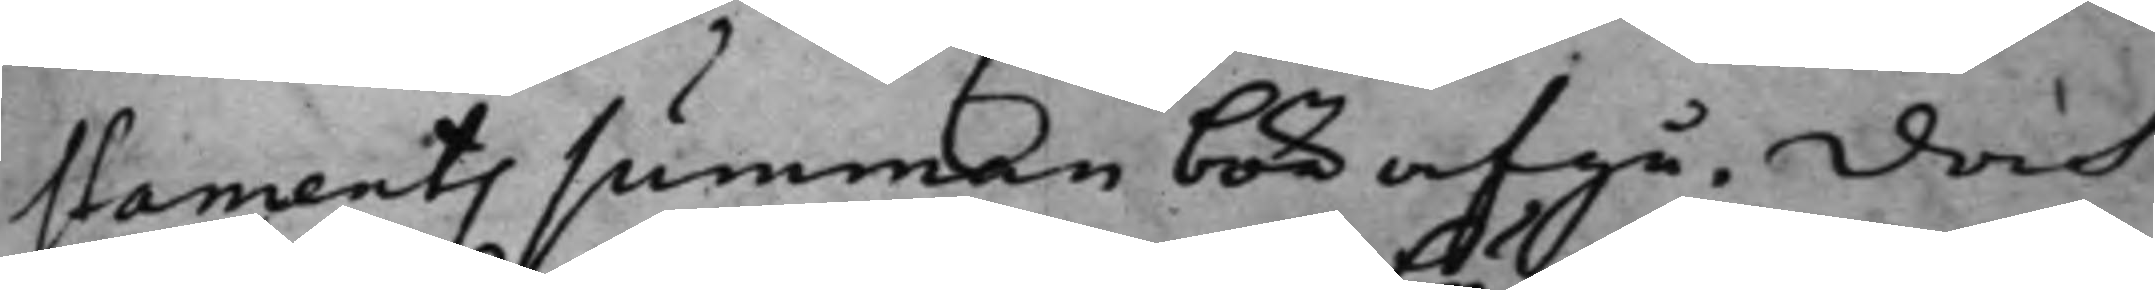staments summan bör afgå, doch
